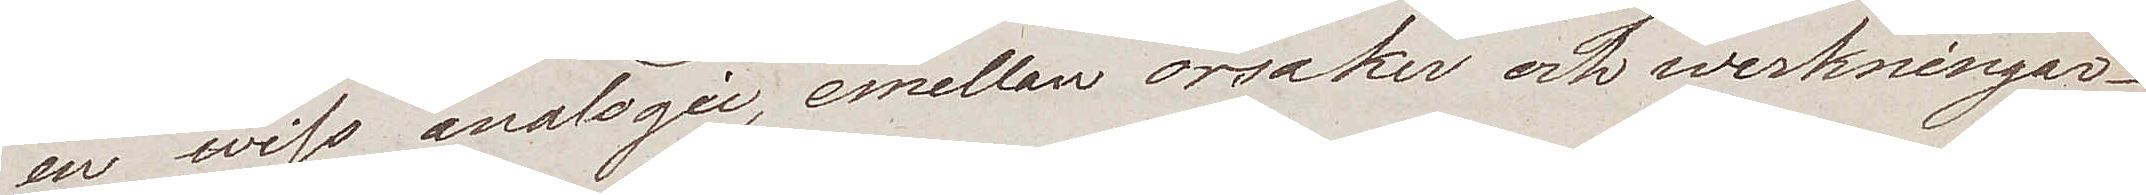en wiss analogie, emellan orsaker och werkningar.
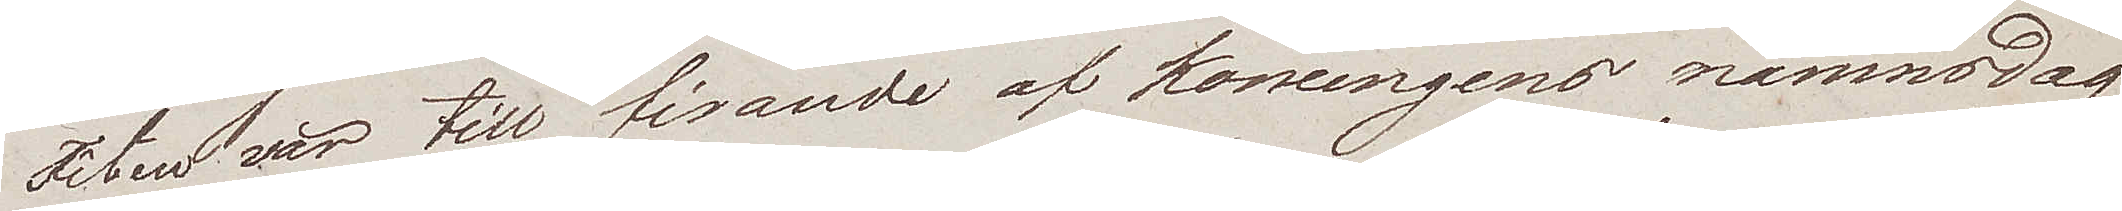Fêten var till firande af konungens namnsdag
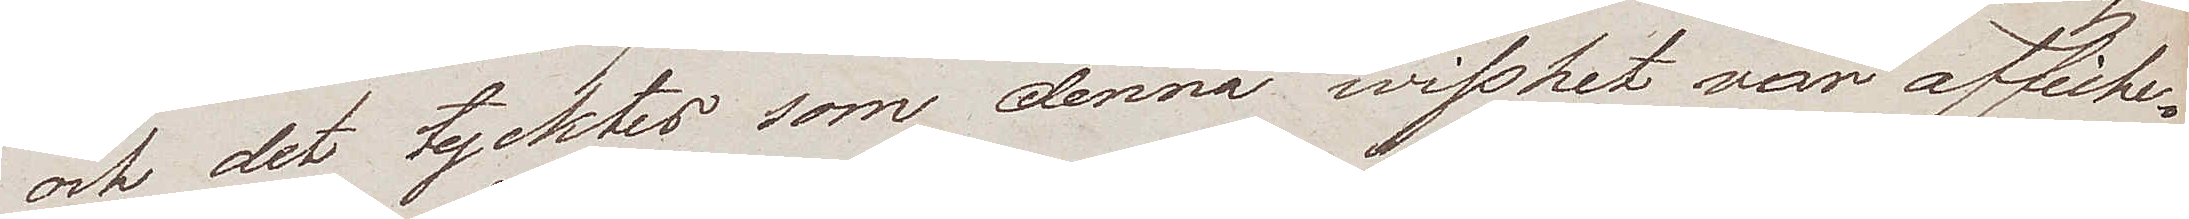och det tycktes som denna wisshet var affiche¬
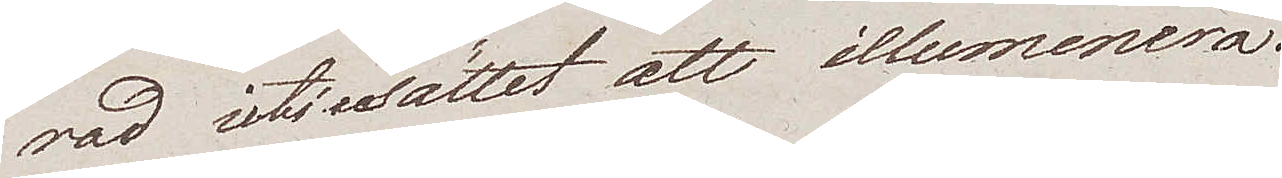rad uti sättet att illumenera.
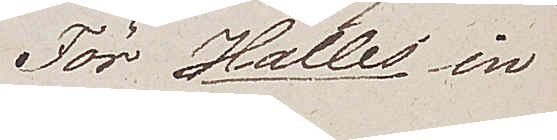För Halles in
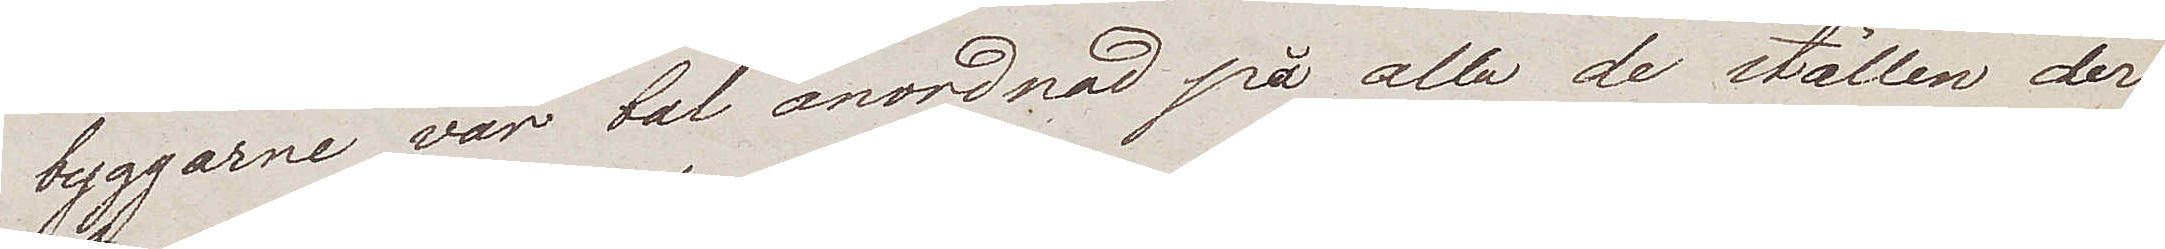byggarne var bal anordnad på alla de ställen der
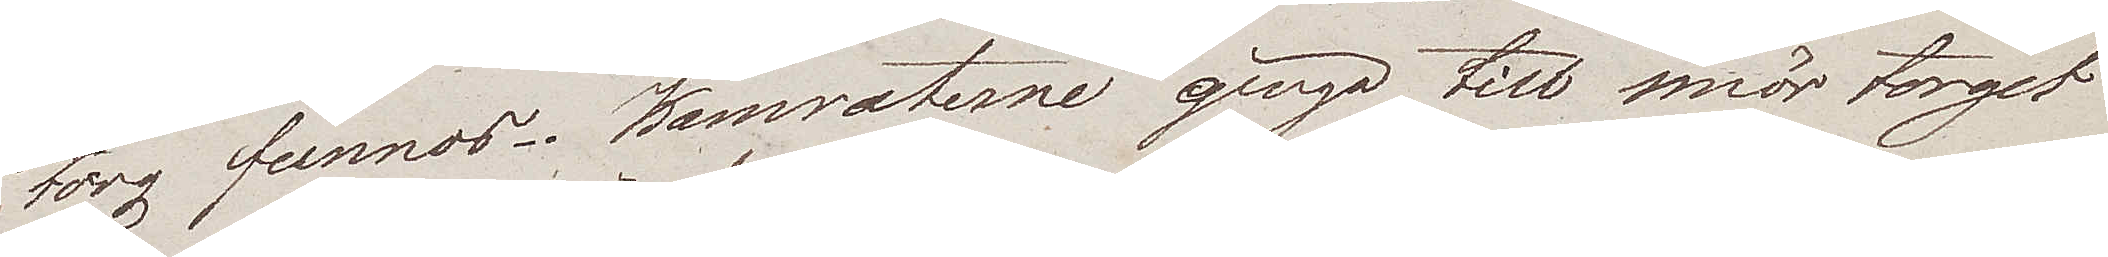torg funnos. Kamraterne gingo till smör torget
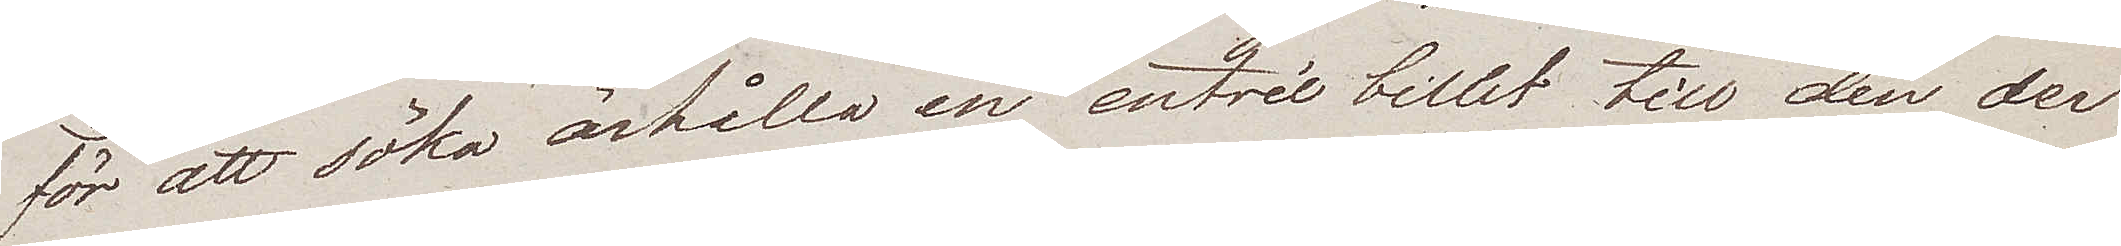för att söka ärhålla en entrée billet till den der
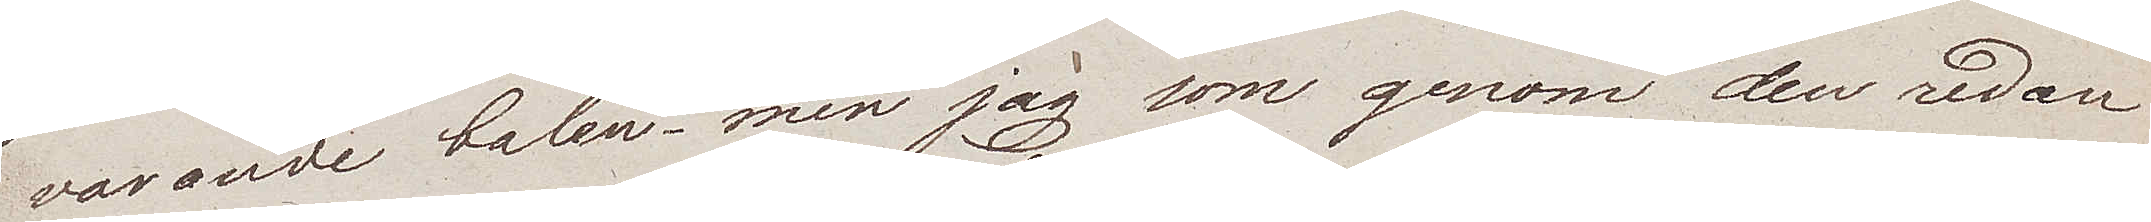varande balen, men jag som genom den redan
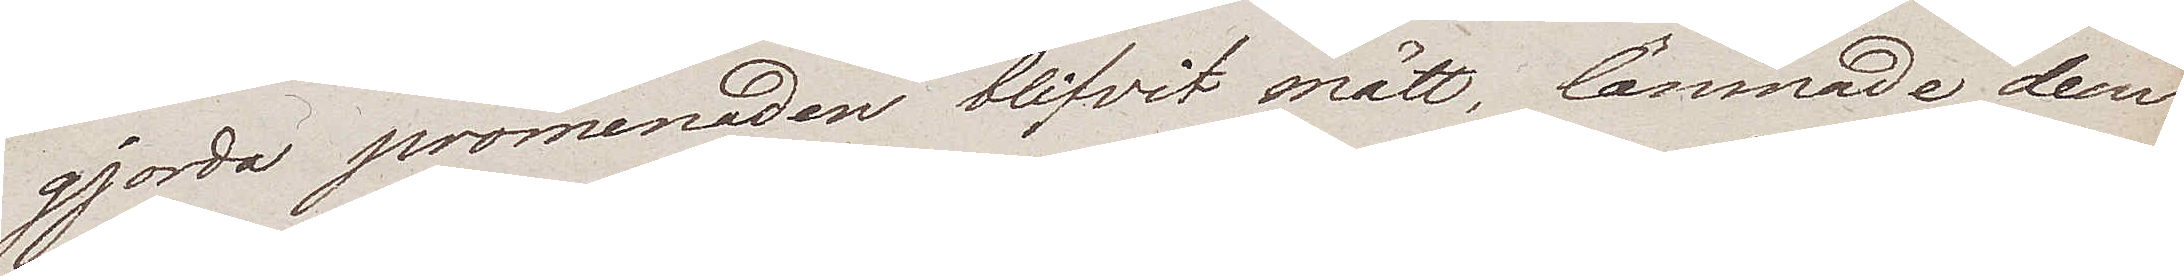gjorda promenaden blifvit mätt, lämnade dem
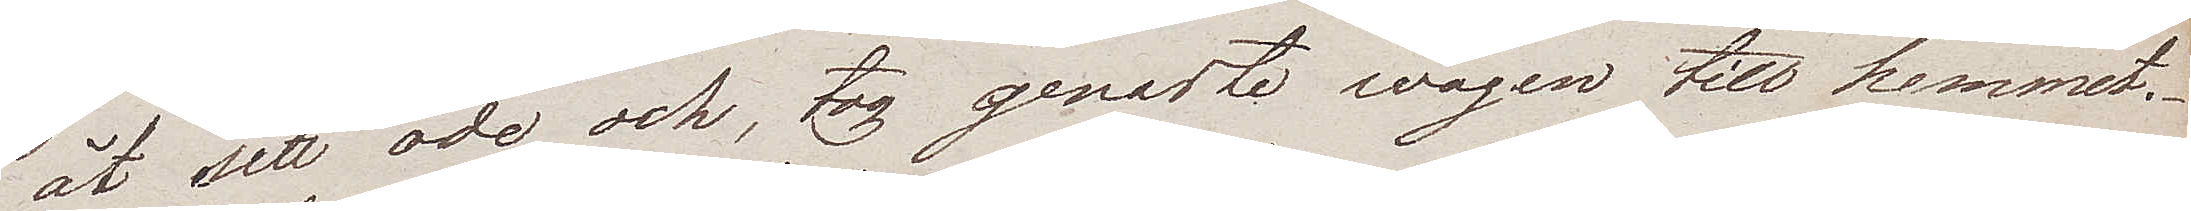åt sitt öde och, tog genaste wägen till hemmet.
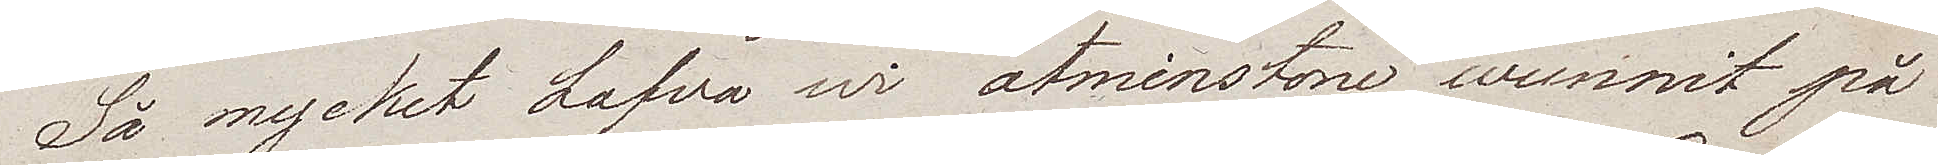Så mycket hafva wi åtminstone wunnit på
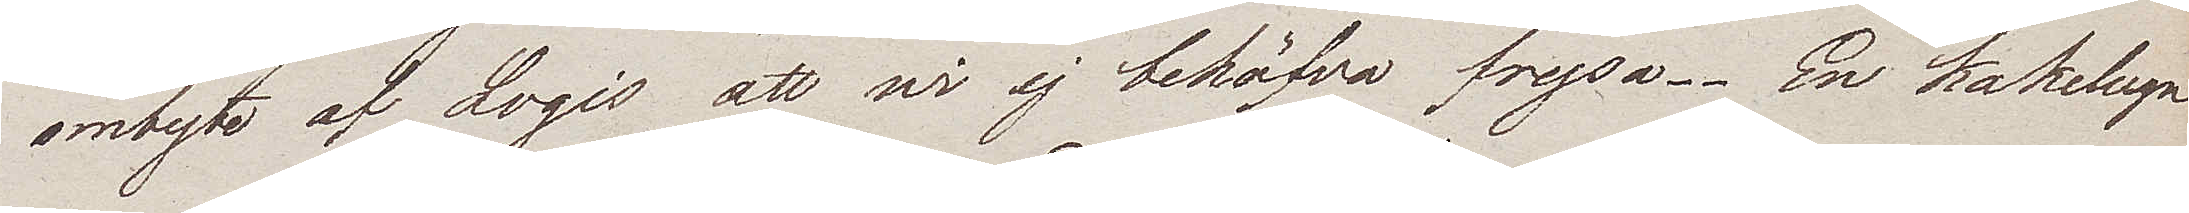ombyte af Logis att wi ej behöfva frysa. En kakelugn
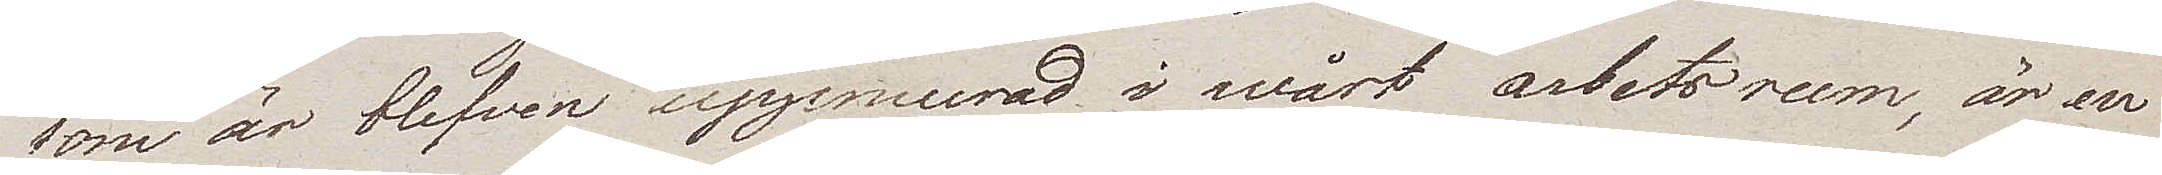som är blefven uppmurad i wårt arbetsrum, är en
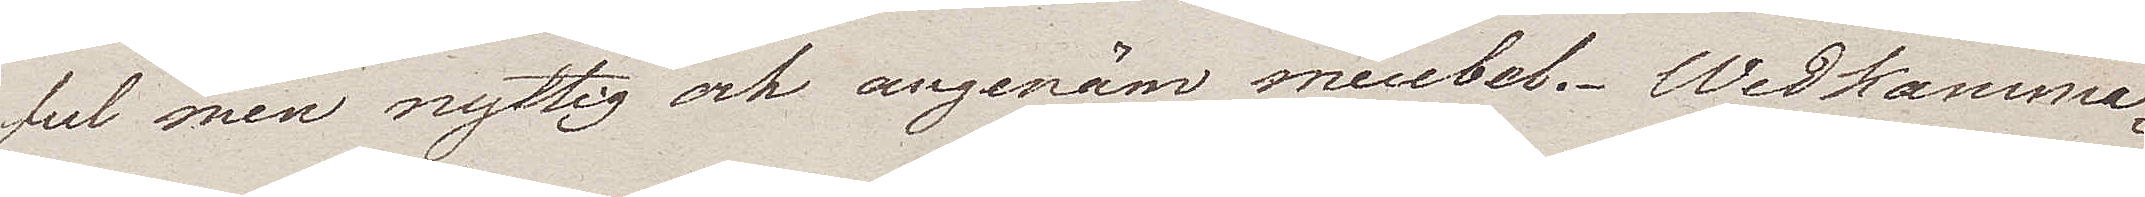ful men nyttig och angenäm meubel. Wedkamma¬
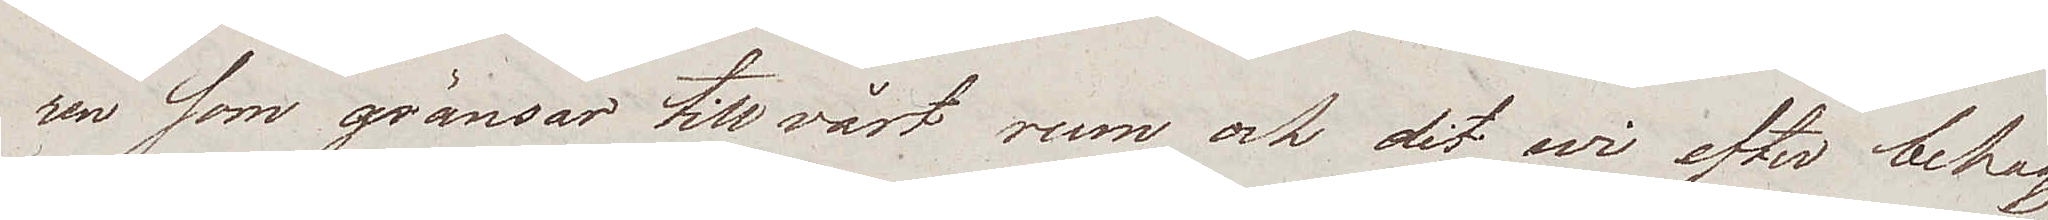ren som gränsar till vårt rum och dit wi efter behag
